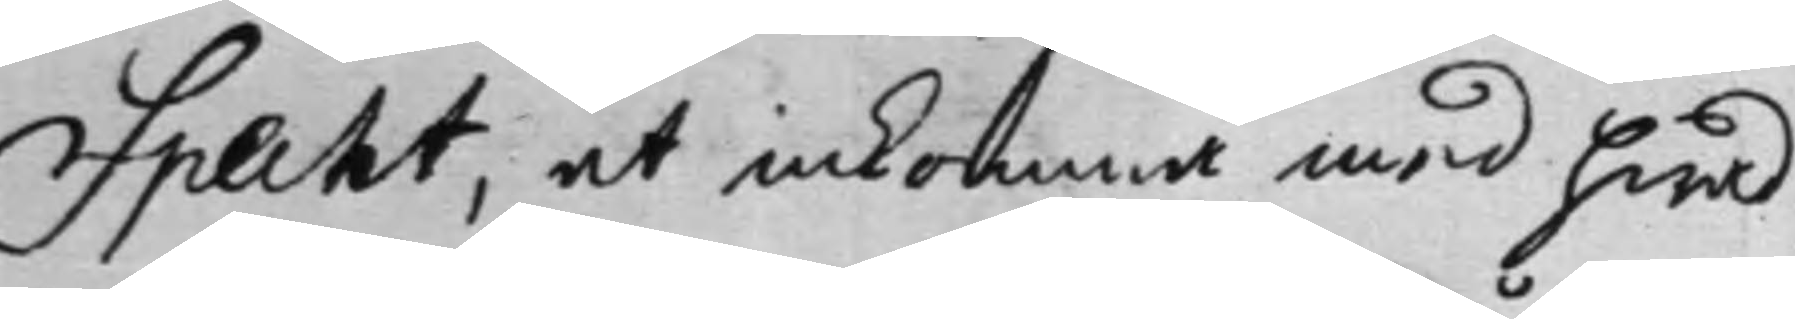Specht, at inkomma med hwad
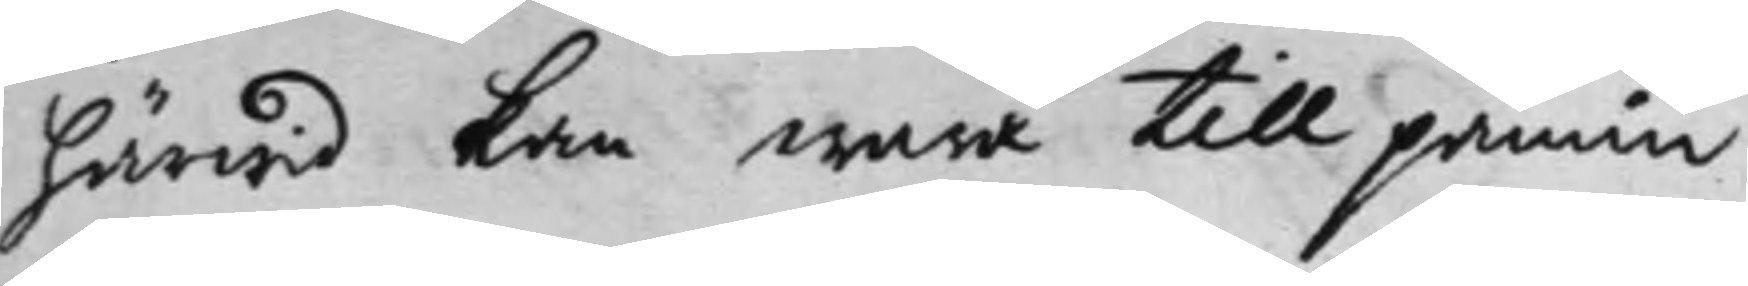härwid kan wara till påmin¬
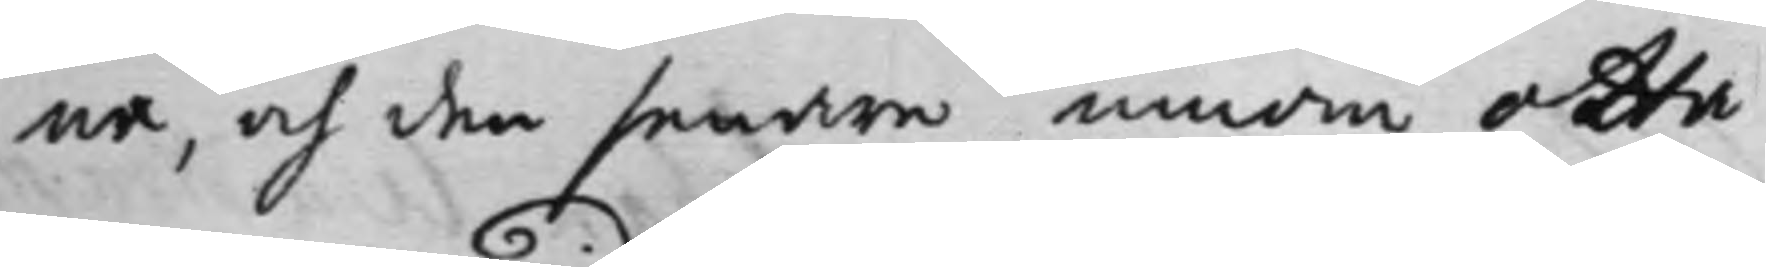na, och den senare innom otta
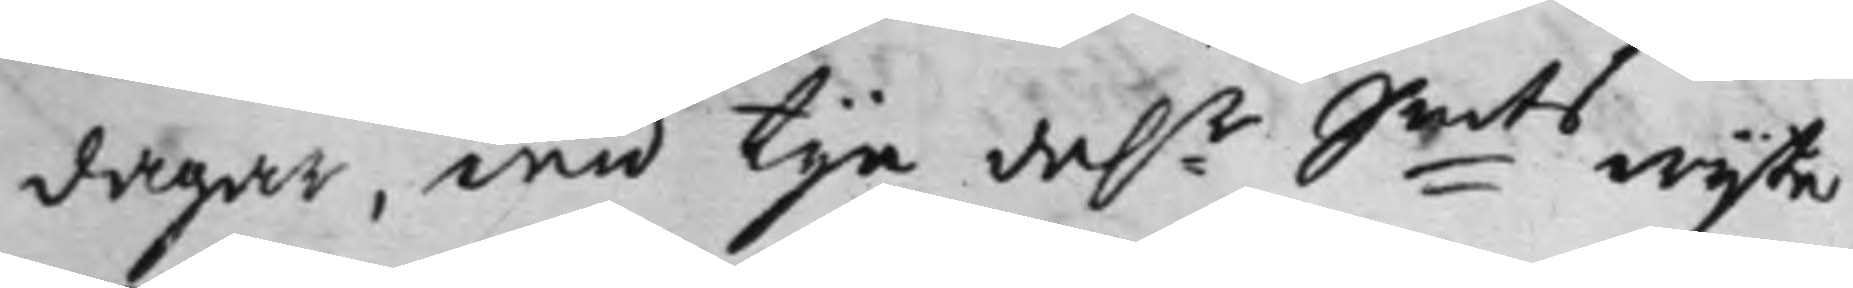dagar, wid tije da:r S:mts wijte
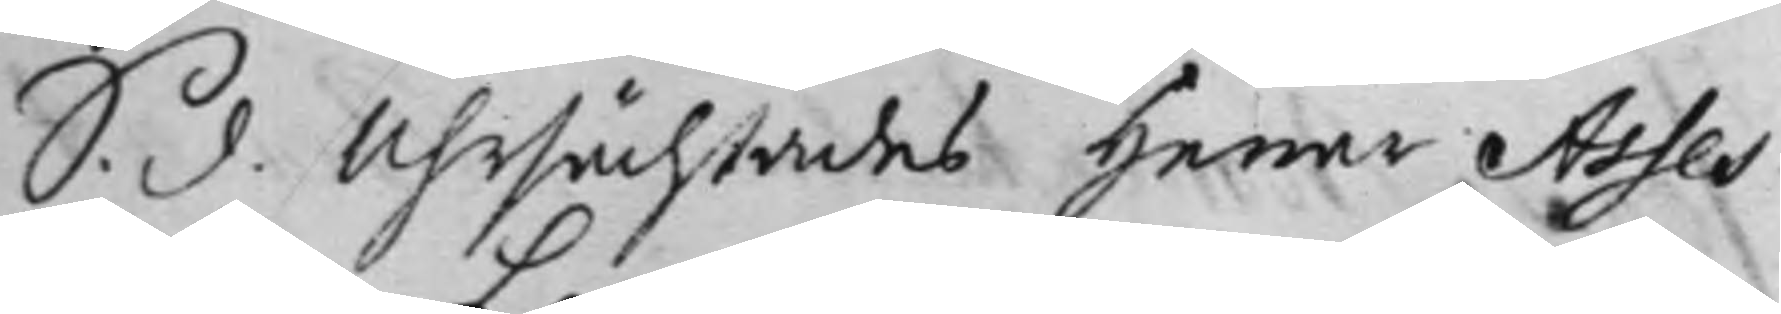S. d. Uhrsächtades Herrar Asses¬
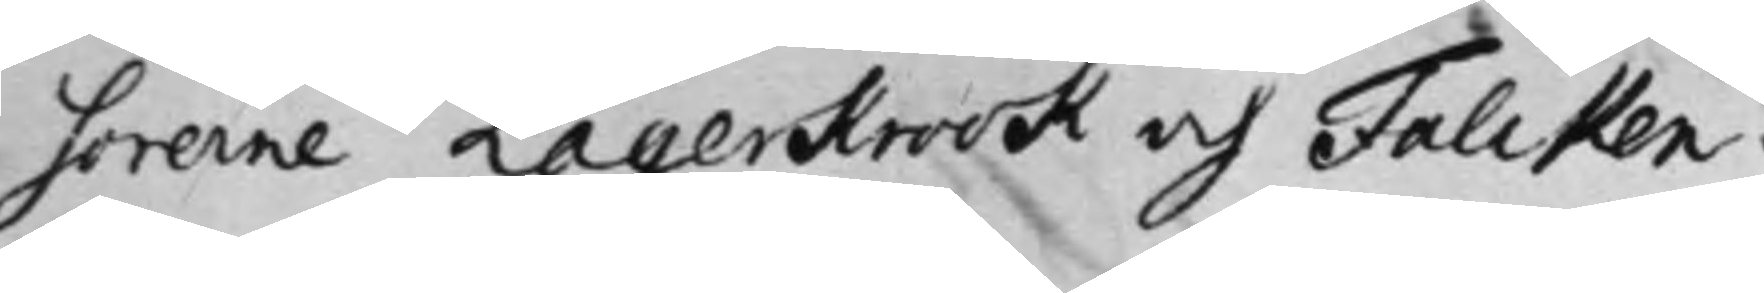sorerne Lagerkrook och Falcken¬
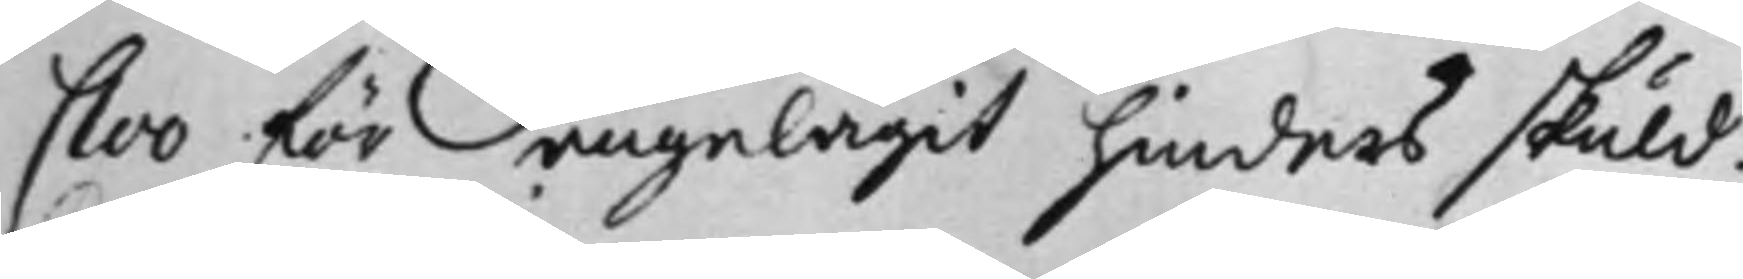Cloo för angelägit hinders skuld.
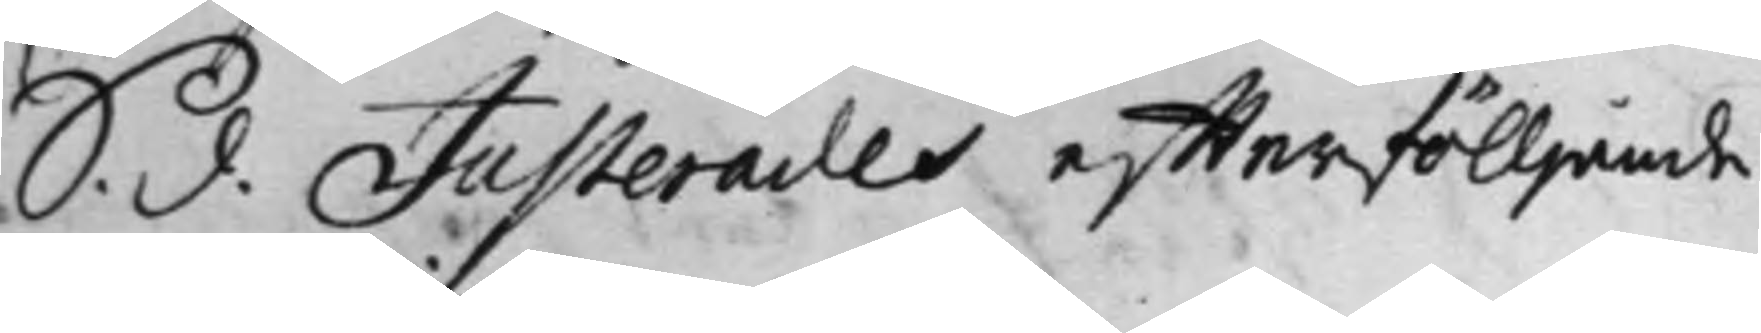S. d. Justerades effterfölljande
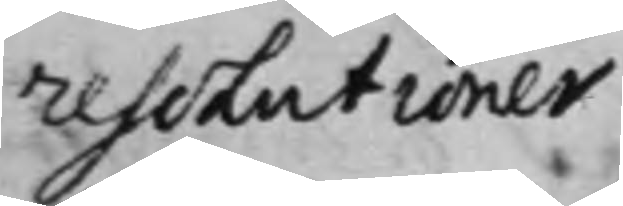resolutioner.
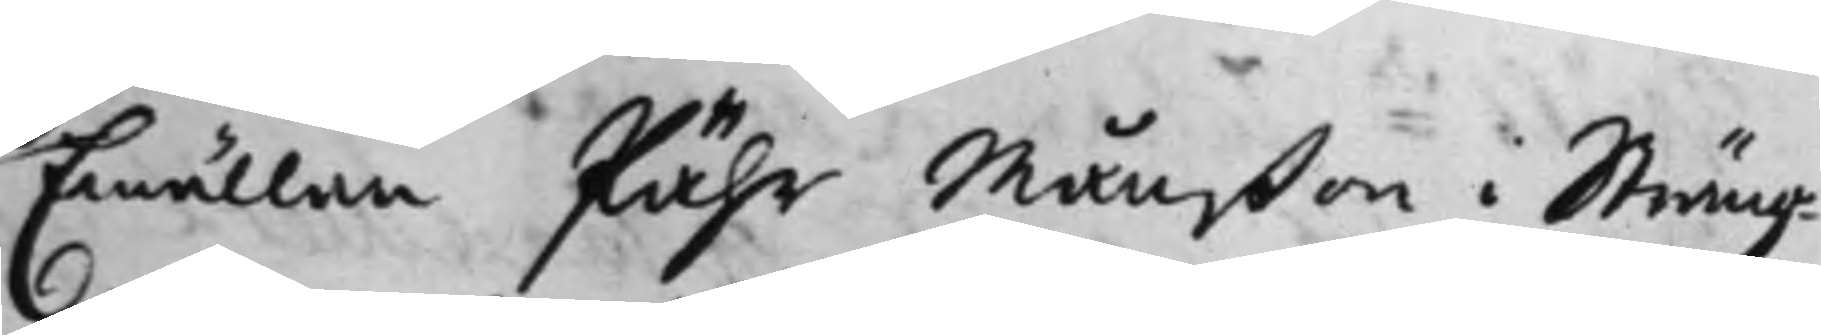Emällan Pähr Månßon i Sträng¬
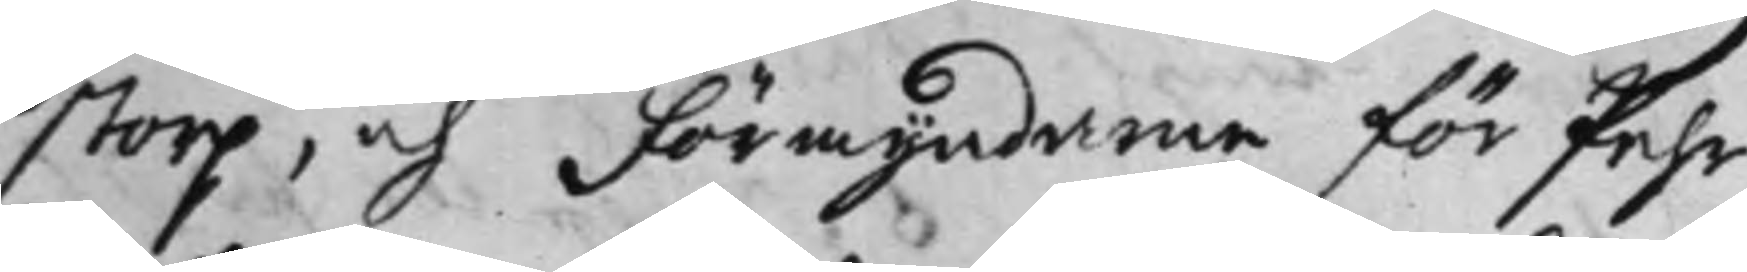storp, och Förmyndarne för Pehr
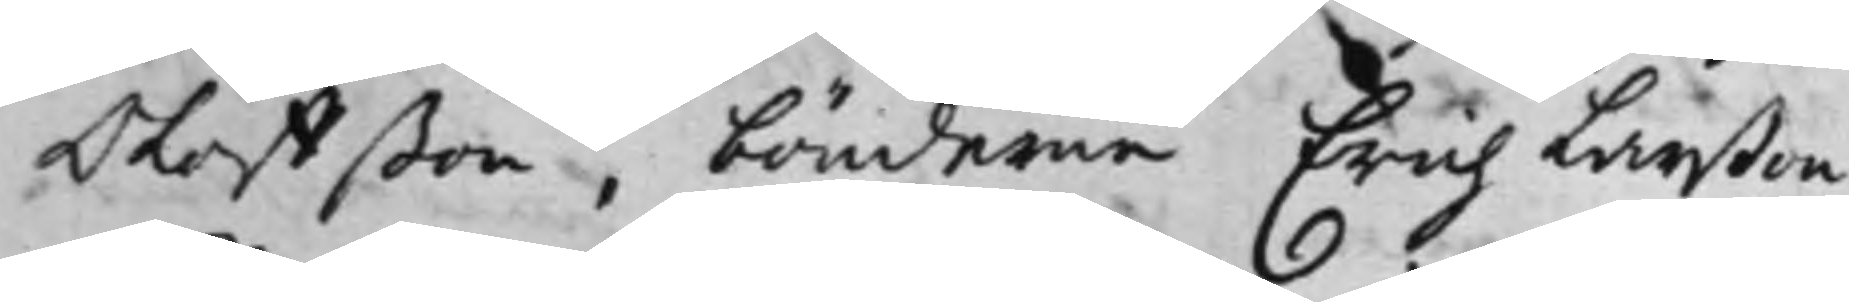Oloffßon, bönderne Erich Larßon
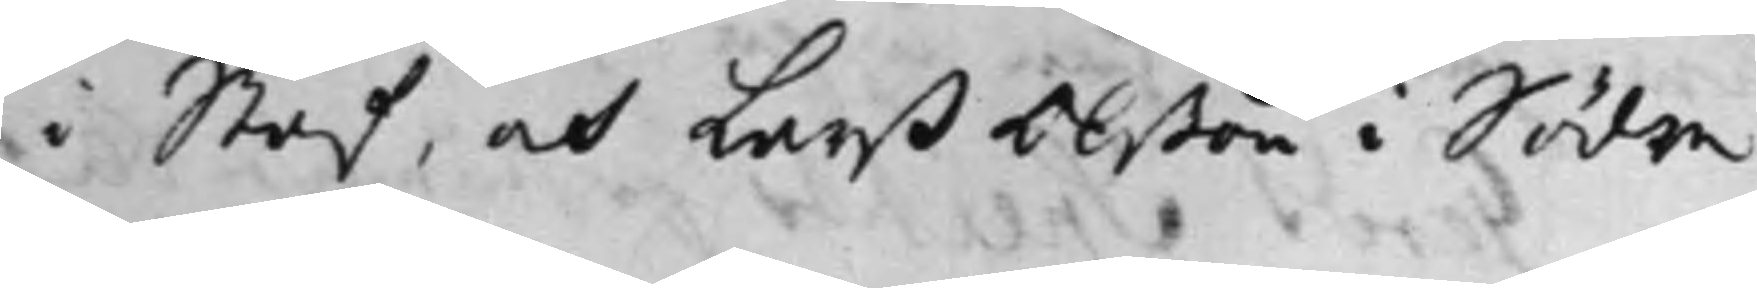i Staf, och Larß Olßon i Södre
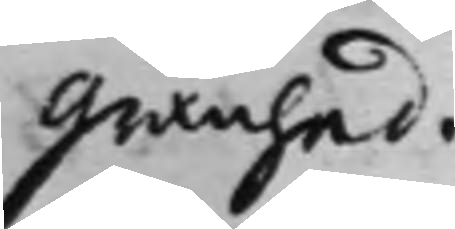Granhed.
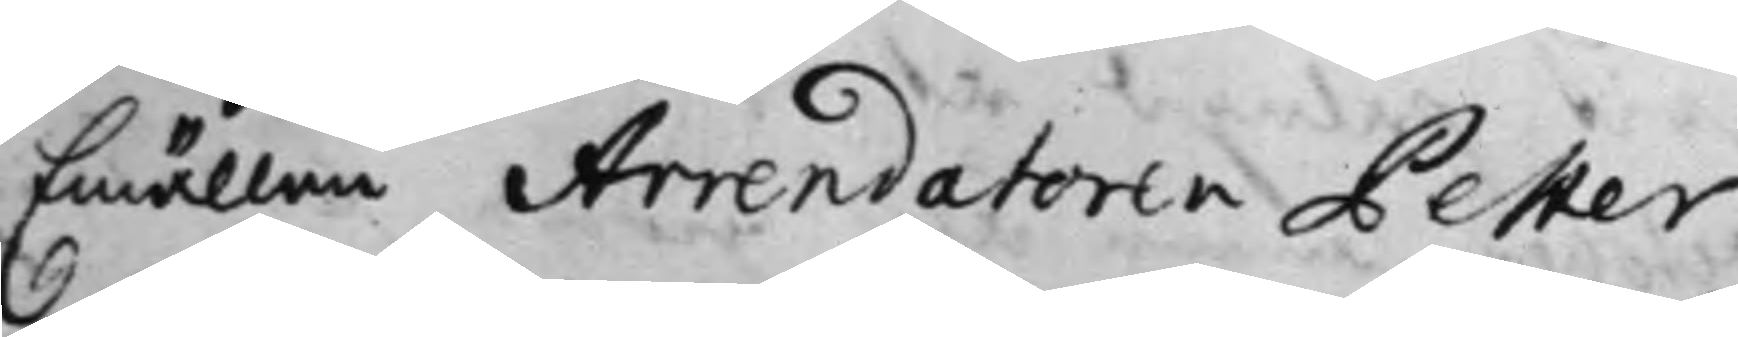Emällan Arrendatoren Petter
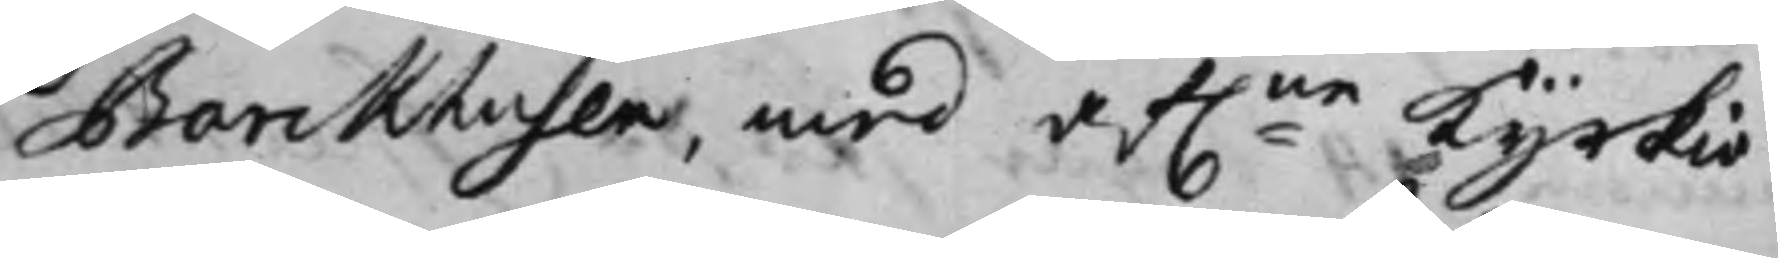Barckhusen med afl:ne Kyrkio¬
